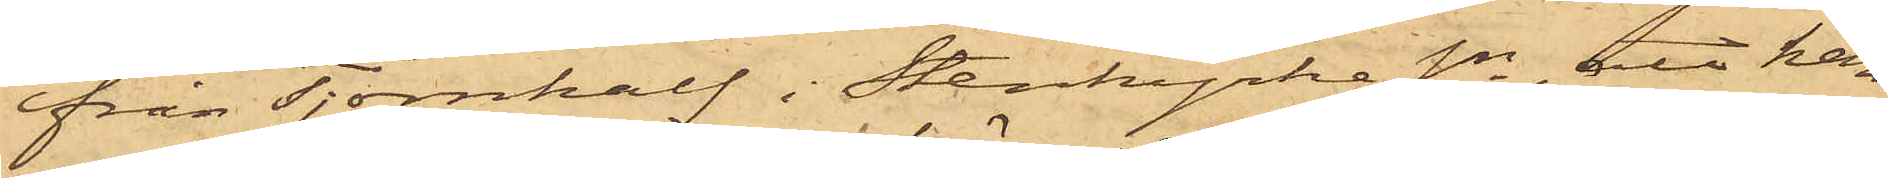från Tjörnkalf i Stenkyrke Sn, att han
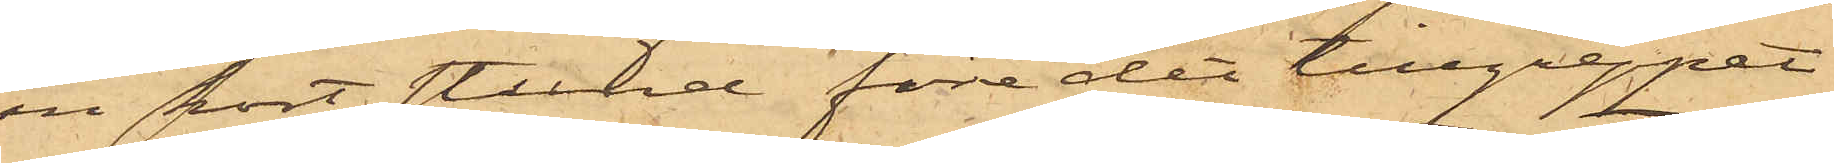en kort stund före det tillgreppet
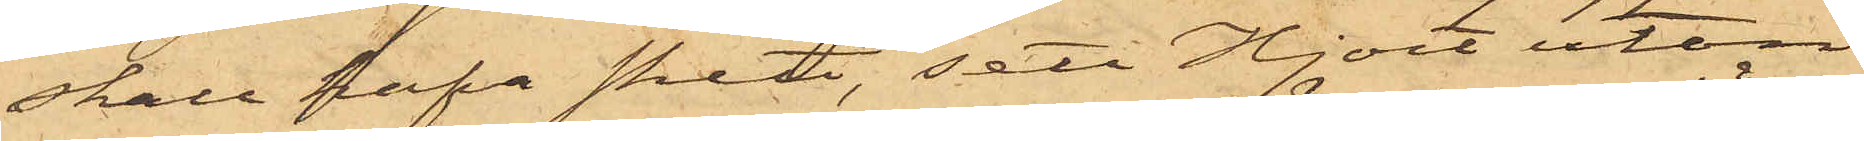skall hafva skett, sett Hjort utan
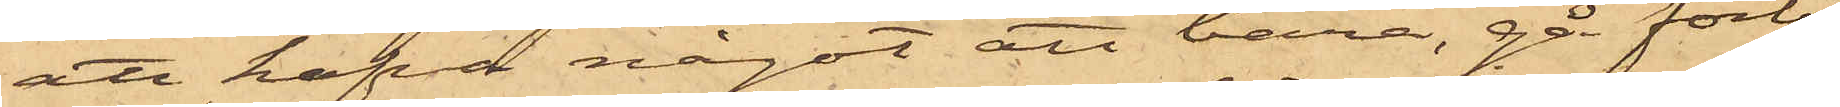att hafva något att bära, gå förbi
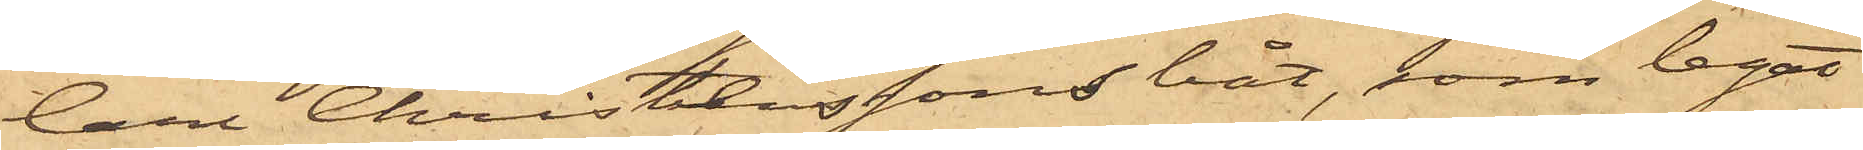Carl Christianssons båt, som legat
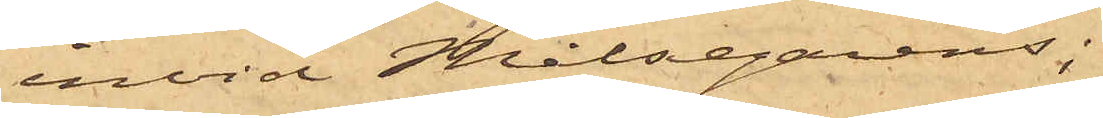invid Målsegarens;
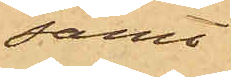samt
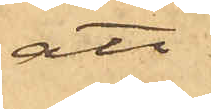att
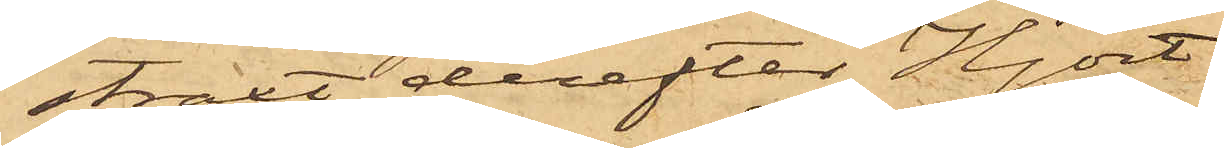straxt derefter Hjort
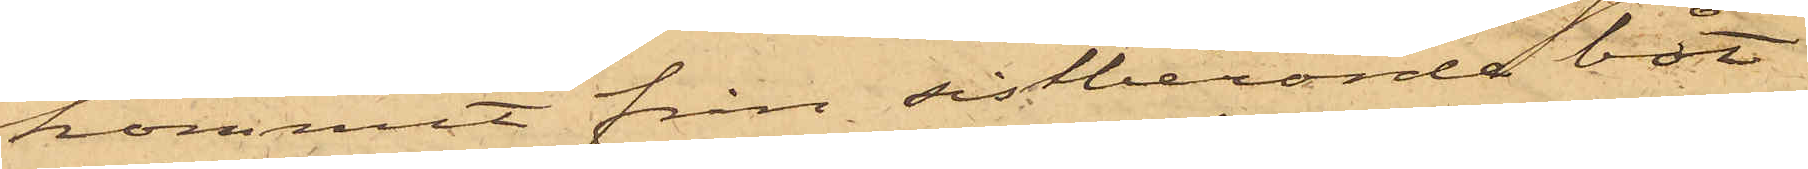kommit från sistberörde båt
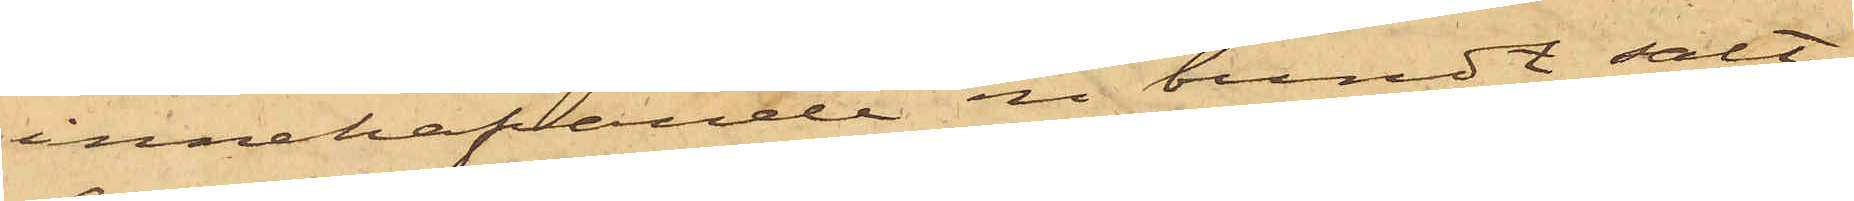innehafvande en bundt salt¬
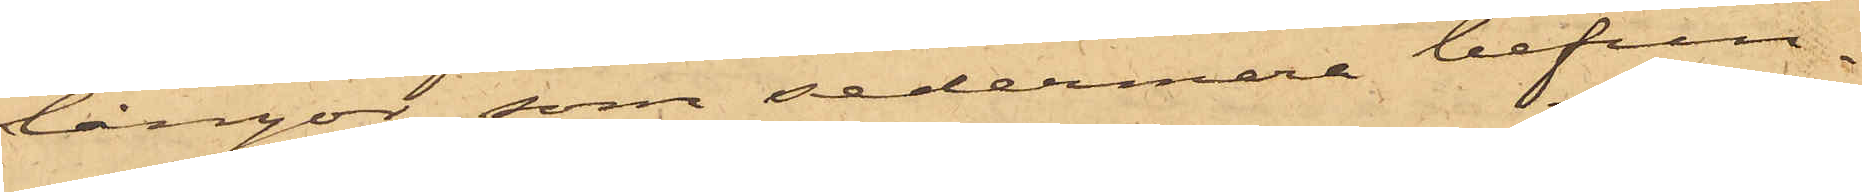långor, som sedermera befun¬
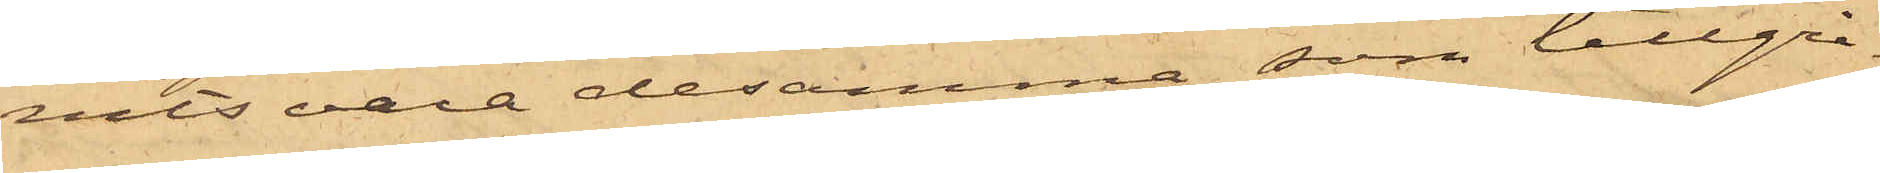nits vara desamma, som tillgri¬
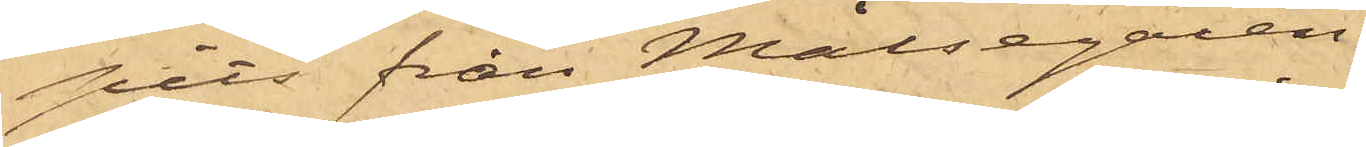pits från Målsegaren.
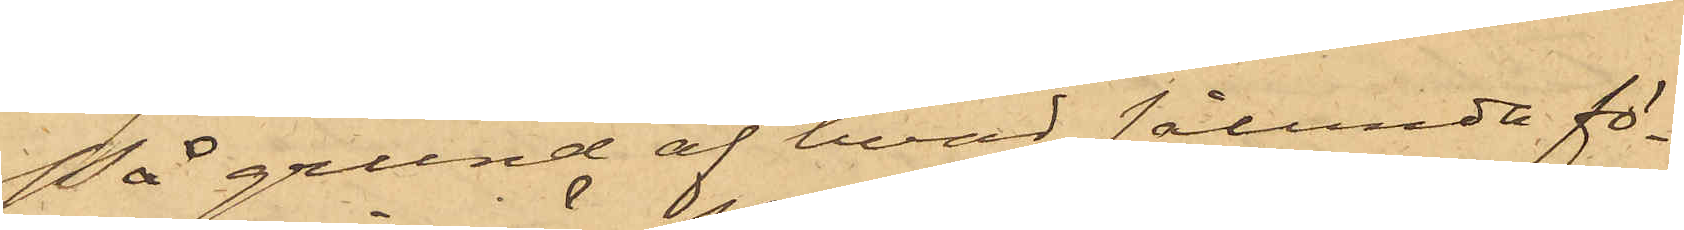På grund af hvad sålunda fö¬
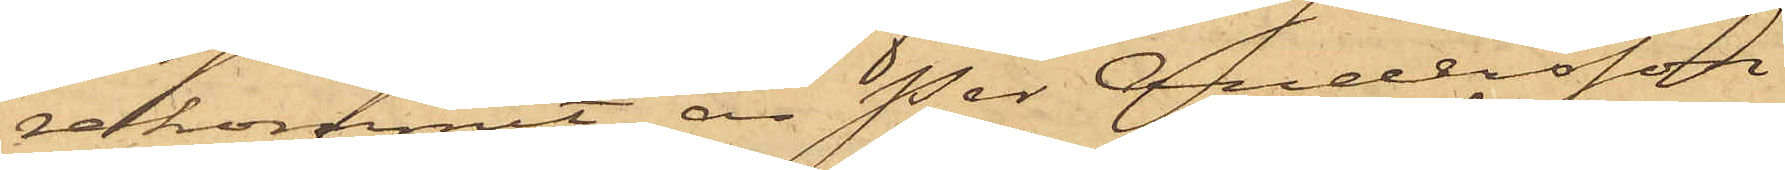rekommit, är Per Andersson
